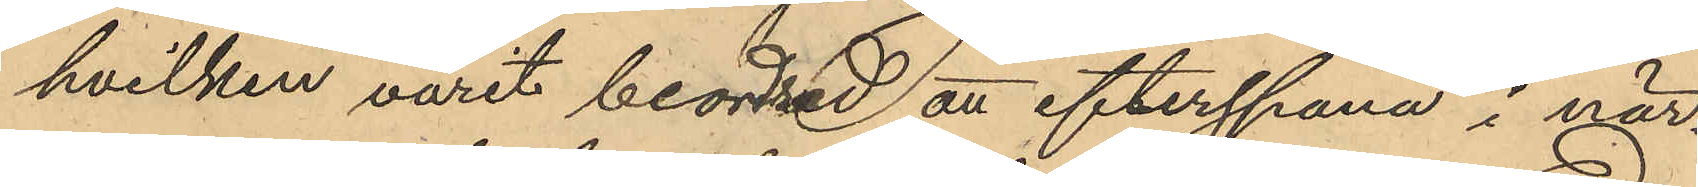hvilken varit beordrad att efterspana i när¬
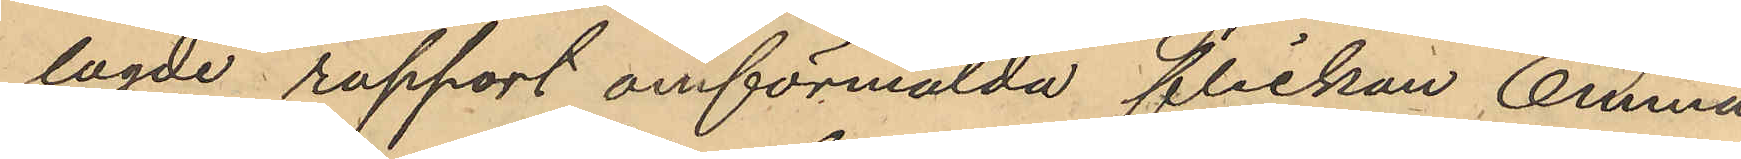lagde rapport omförmälda flickan Emma 
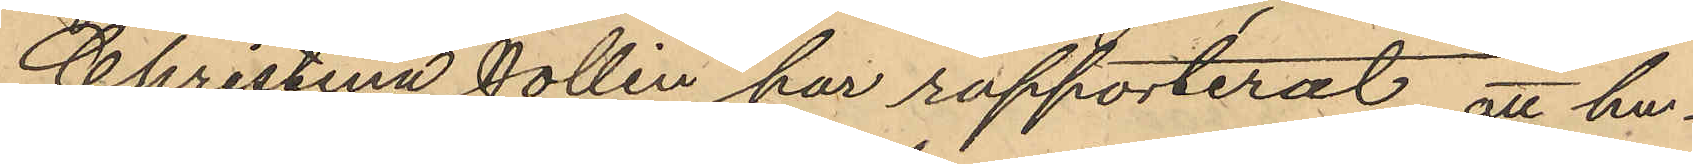Christina Jollin har rapporterat, att hu¬
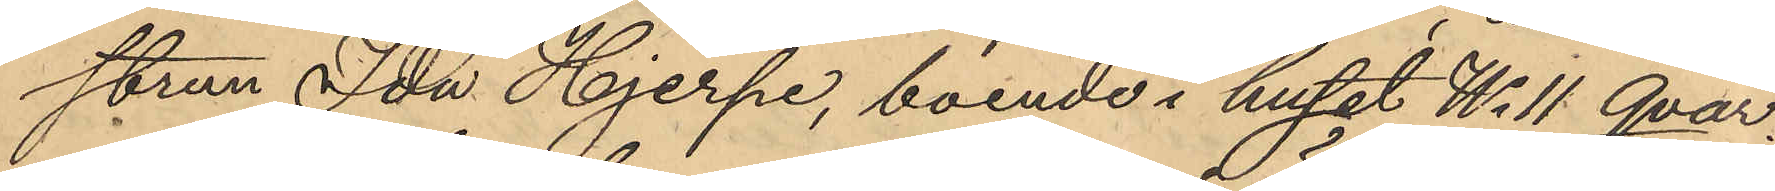strun Ida Hjerpe, boende i huset No 11 Qvar¬
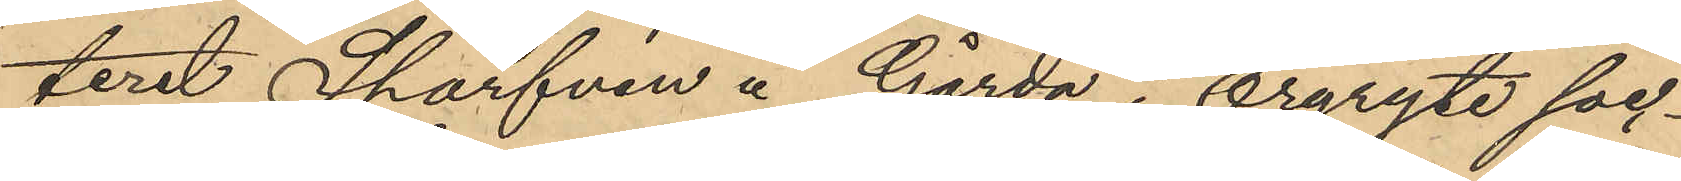teret Sparfven å Gårda i Örgryte soc¬
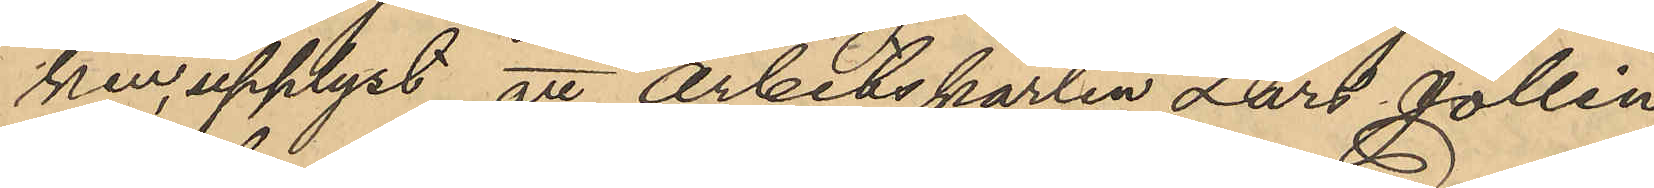ken, upplyst att arbetskarlen Lars Jollin
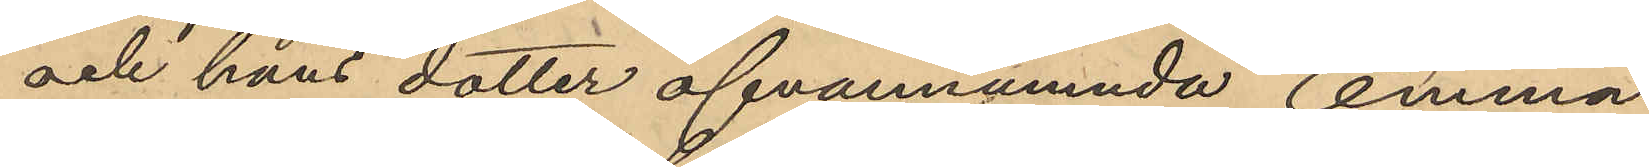och hans dotter ofvannämnda Emma
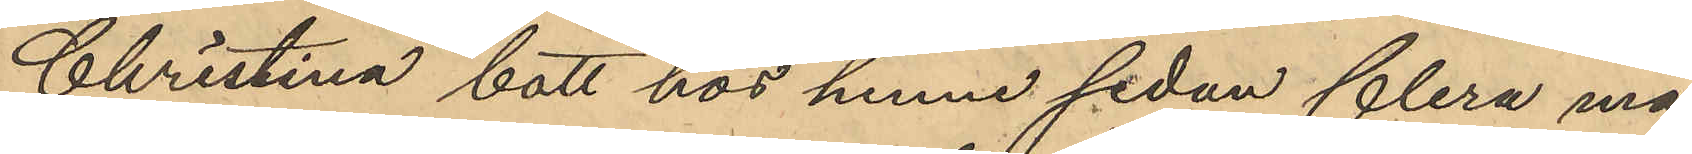Christina bott hos henne sedan flera må¬
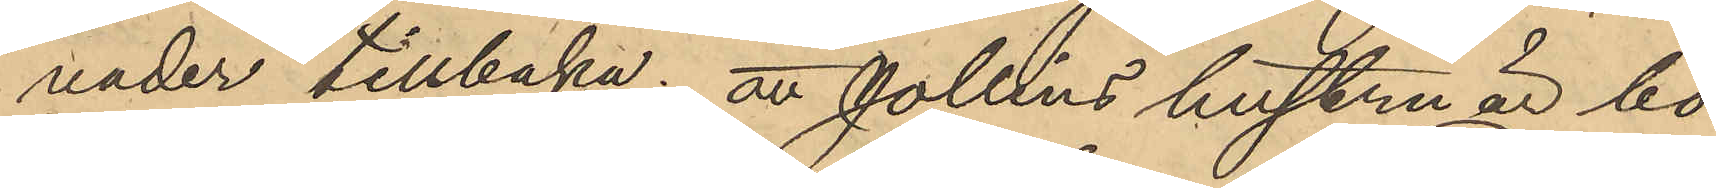nader tillbaka; att Jollins hustru är bo¬
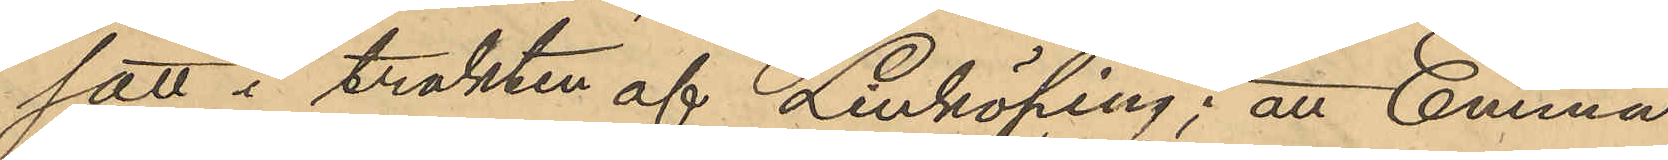satt i trakten af Linköping; att Emma
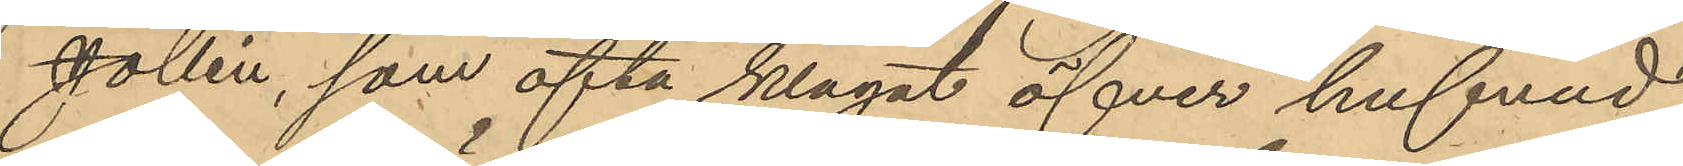Jollin, som ofta klagat öfver hufvud¬
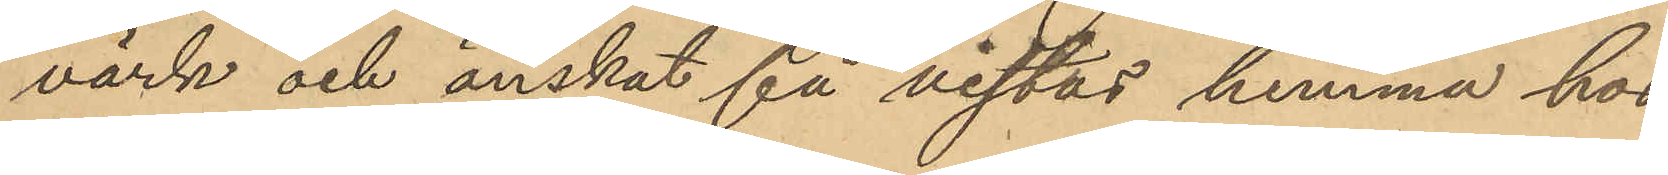värk och önskat få vistas hemma hos
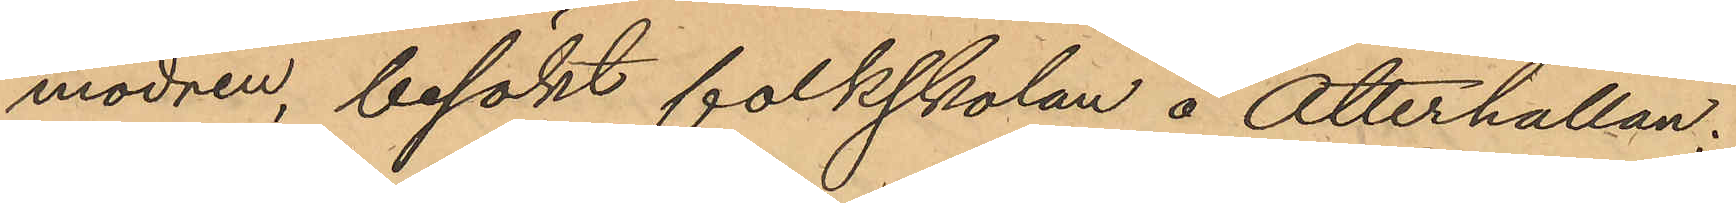modren, besökt folkskolan å Otterhällan,
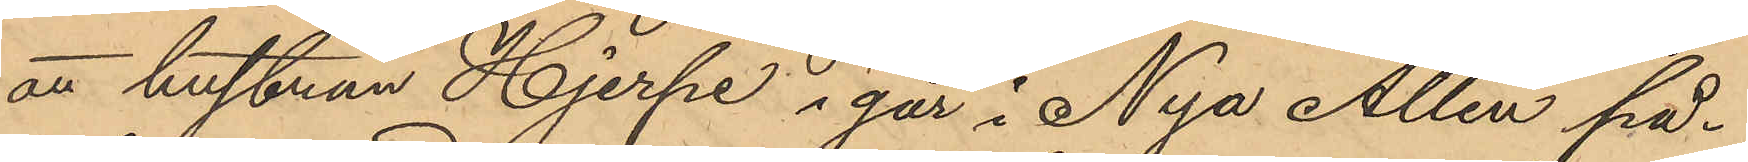att hustrun Hjerpe i går å Nya Allén på¬
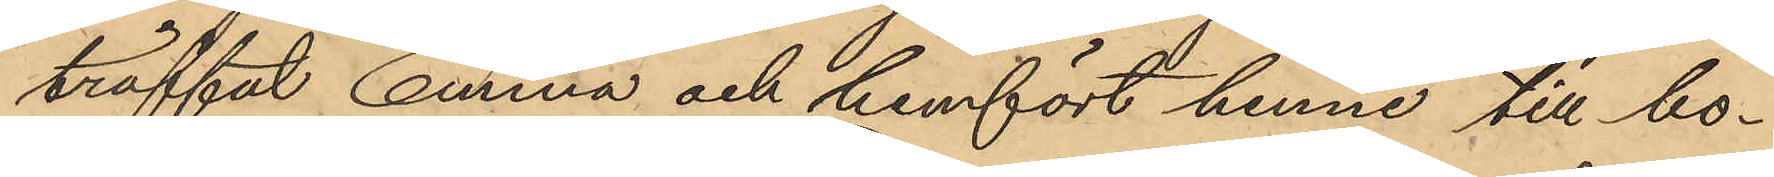träffat Emma och hemfört henne till bo¬
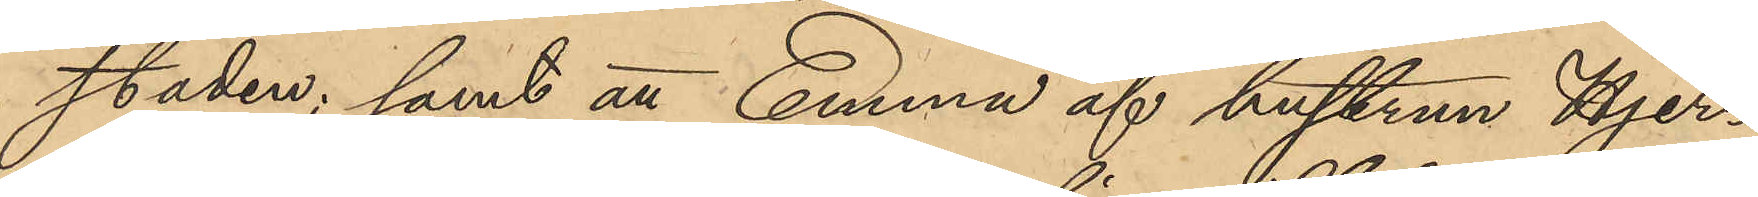staden; samt att Emma af hustrun Hjer¬
